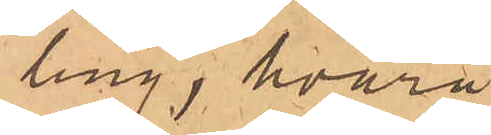ling; hvarå
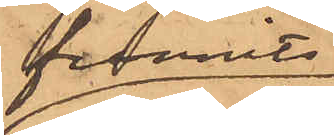funnits
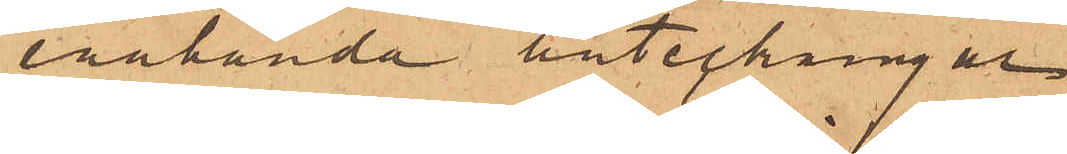enahanda anteckningar
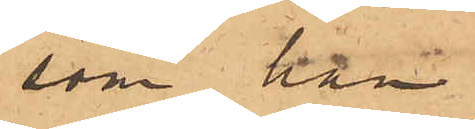som han
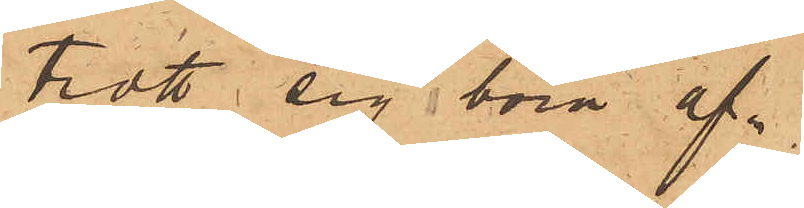trott sig böra af¬
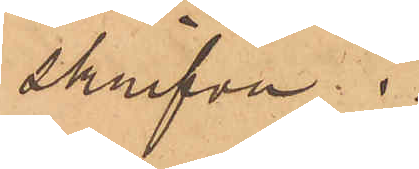skrifva;
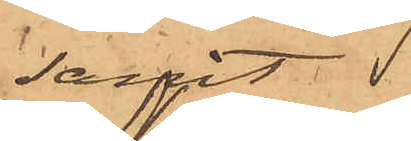samt
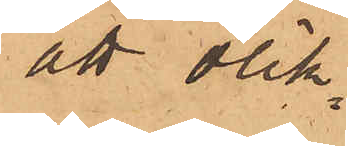att olik¬
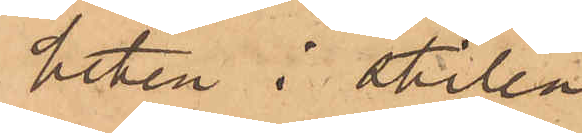heten i stilen.
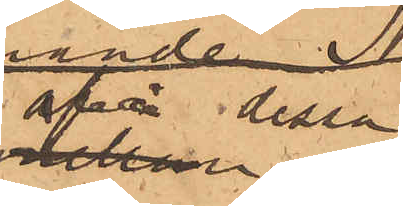af dessa
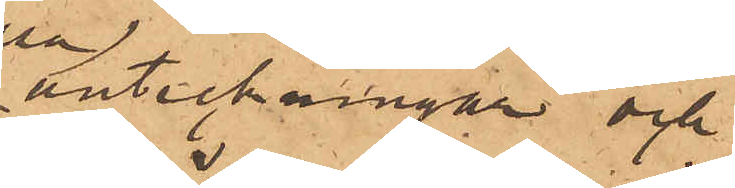anteckningar och
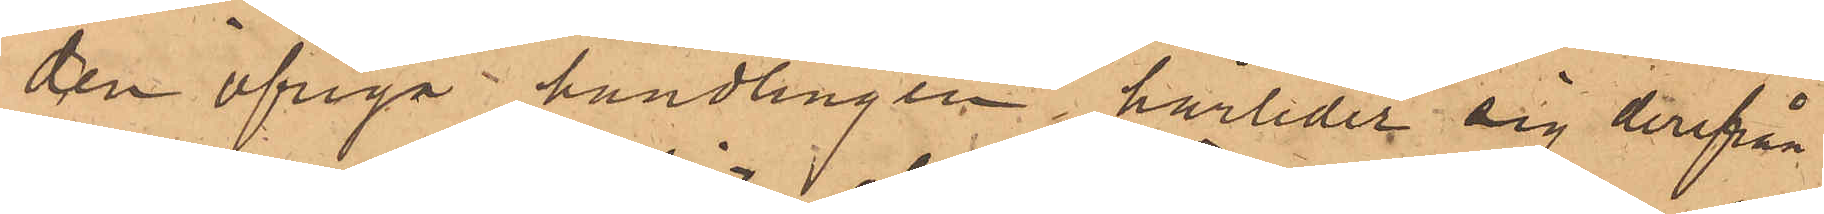den öfriga handlingen härleder sig derifrån
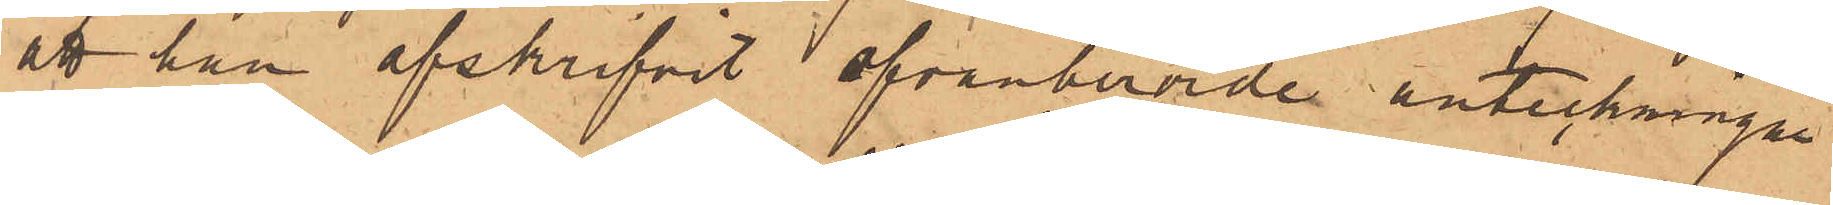att han afskrifvit ofvanberörde anteckningar
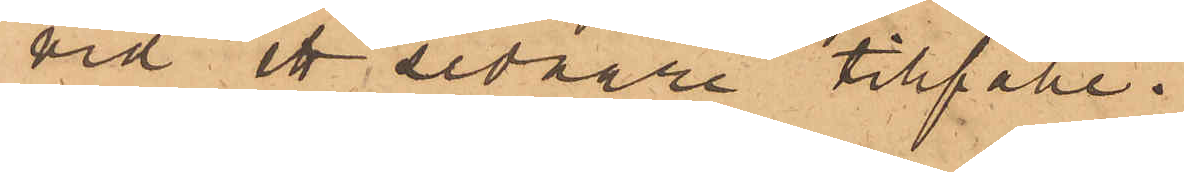vid ett sednare tillfälle.
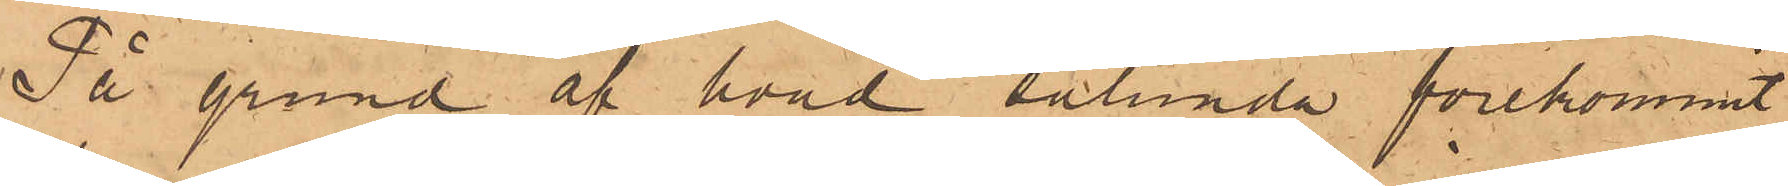På grund af hvad sålunda förekommit
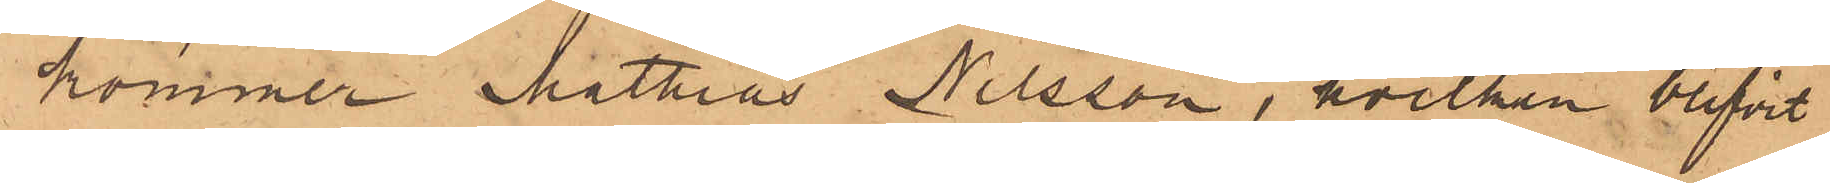kommer Mathias Nilsson, hvilken blifvit
